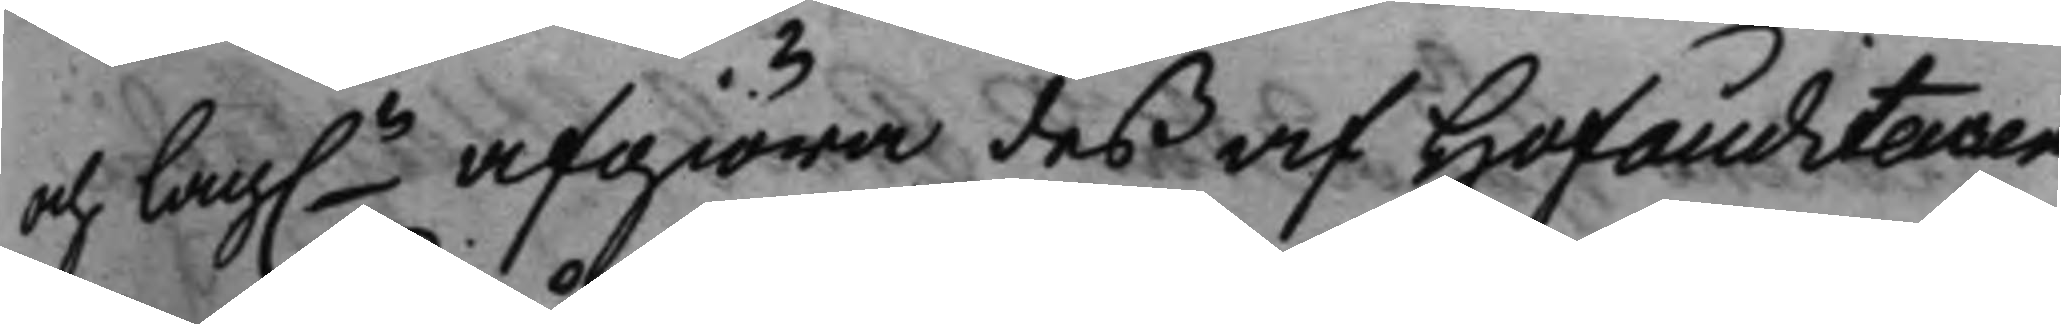och Lag.n afgiöra deß af Hofauditeuren
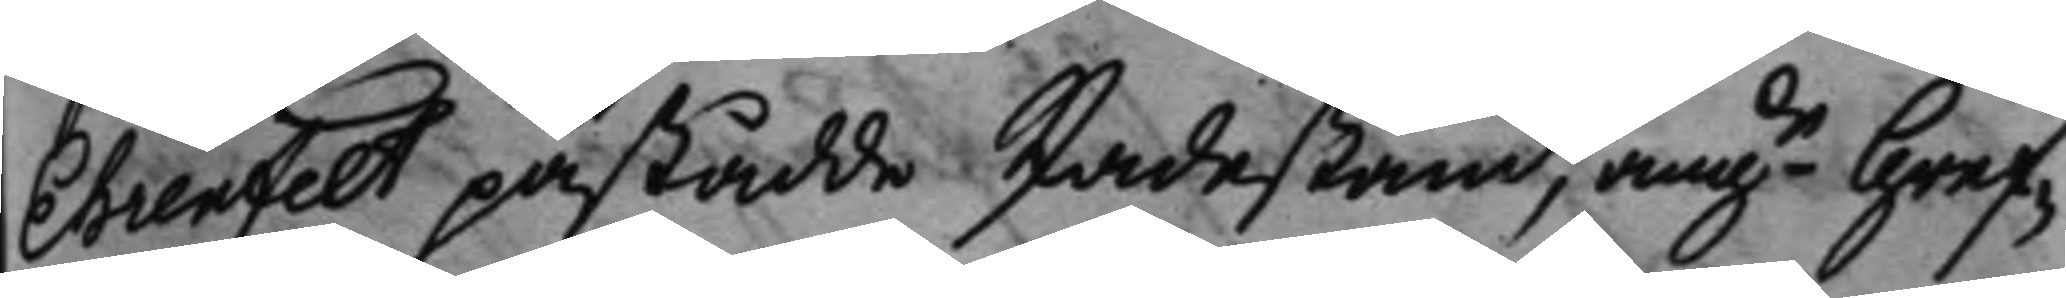Ehrenfelt påstådde skadestånd, angde Gref¬
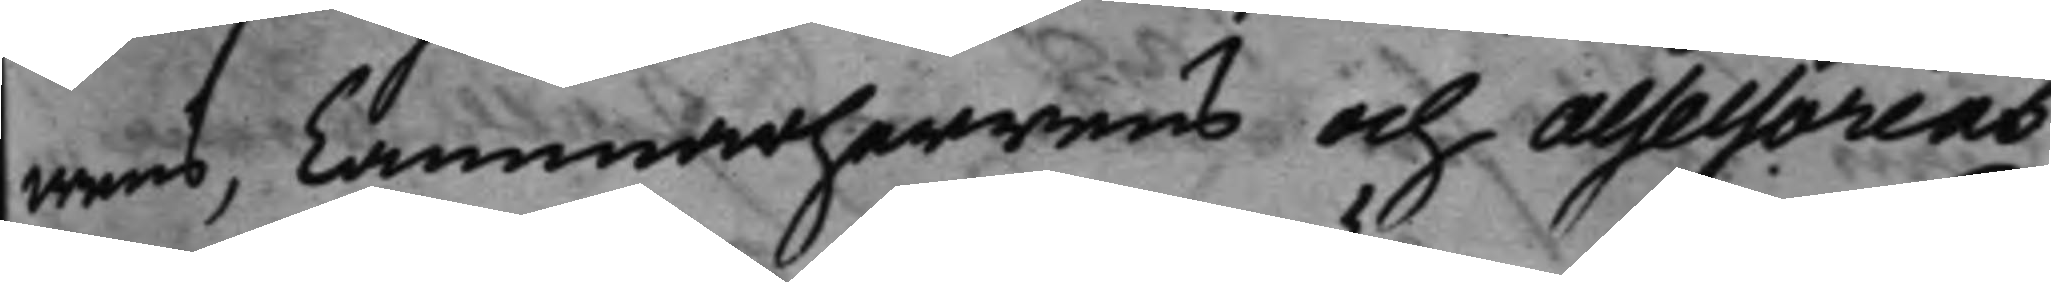wens, Cammarherrens och Assessorens
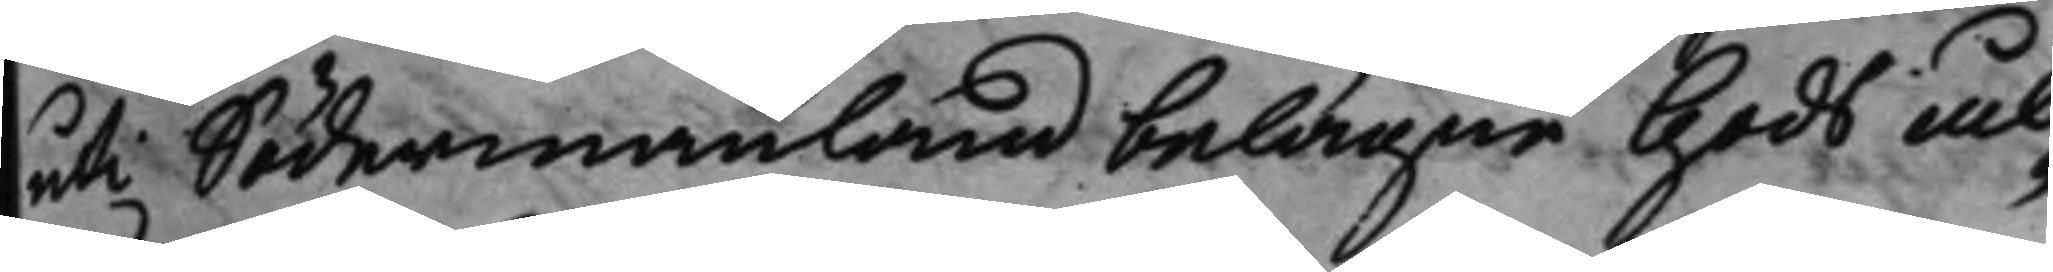uti Södermanland belägne Gods ål¬
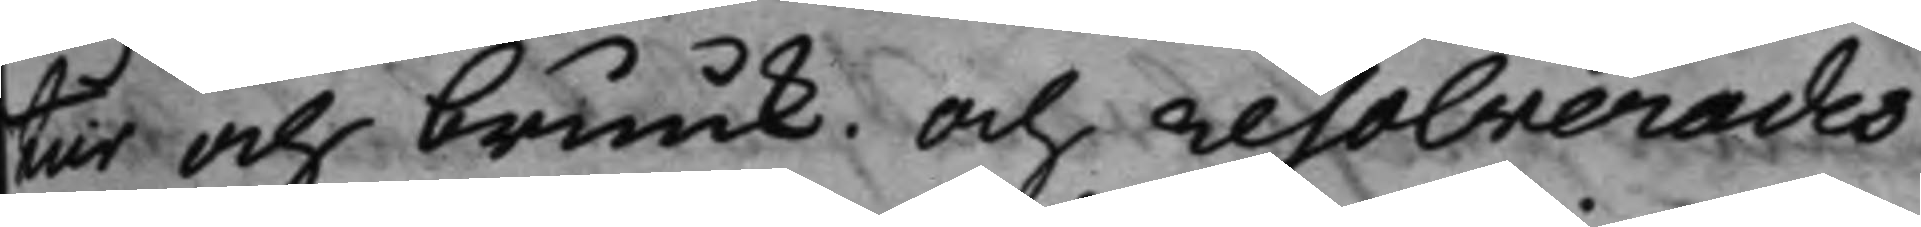tur och bruuk. Och resolverades
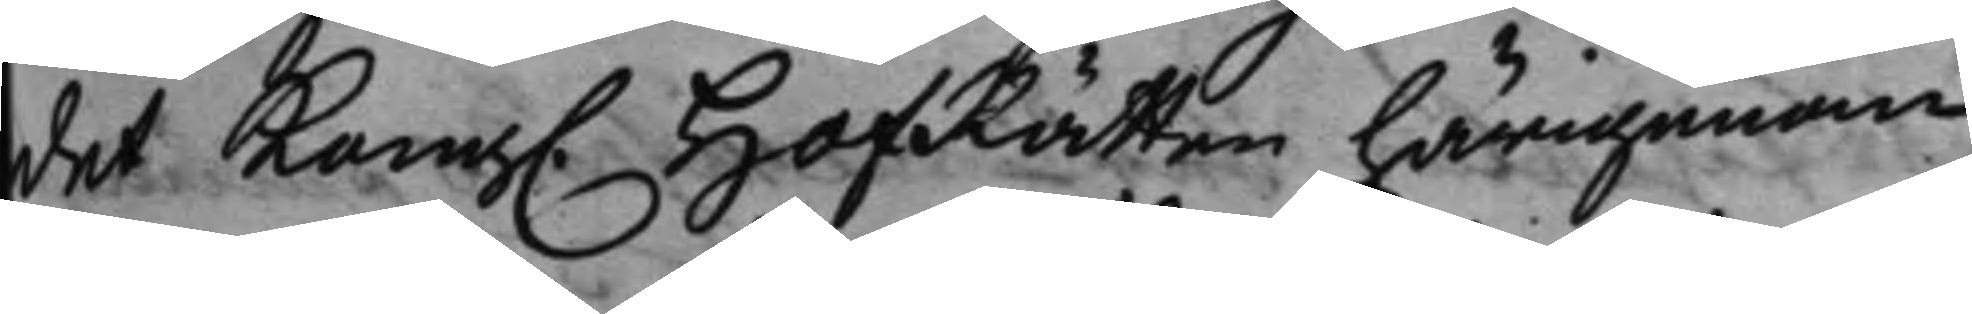det Kong. HofRätten härigenom
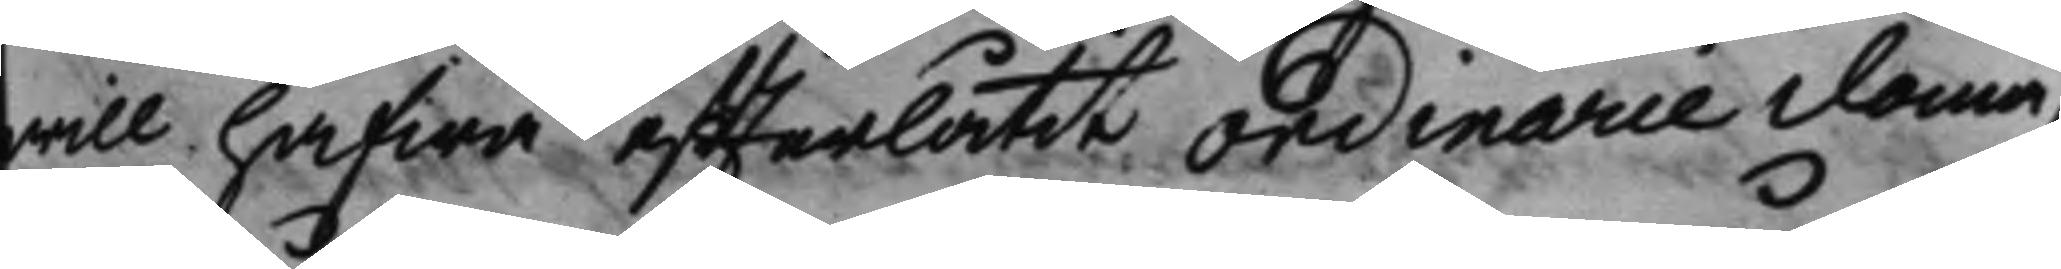will hafwa efterlåtit Ordinarie doma¬
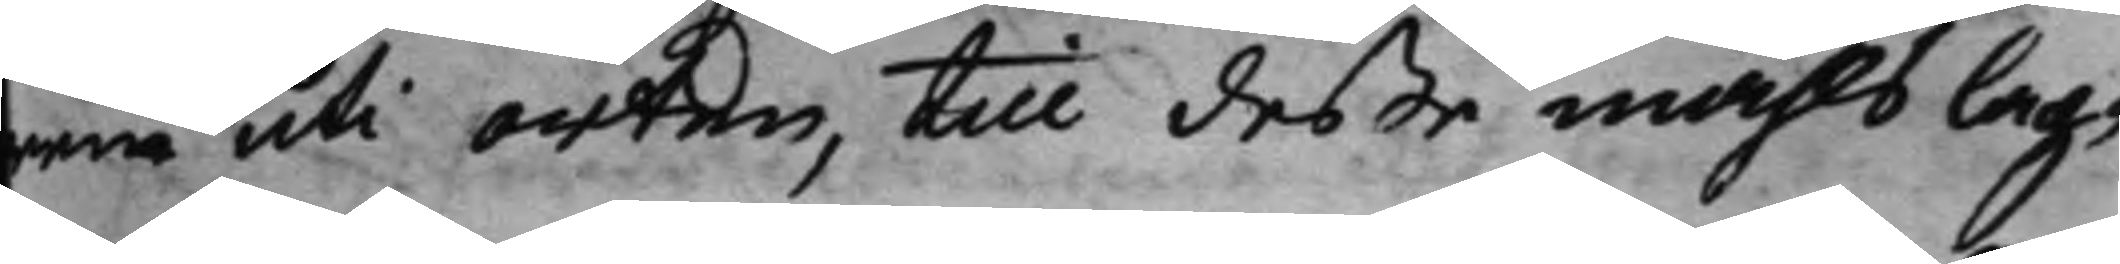rne uti orten, till deße måhls lag¬
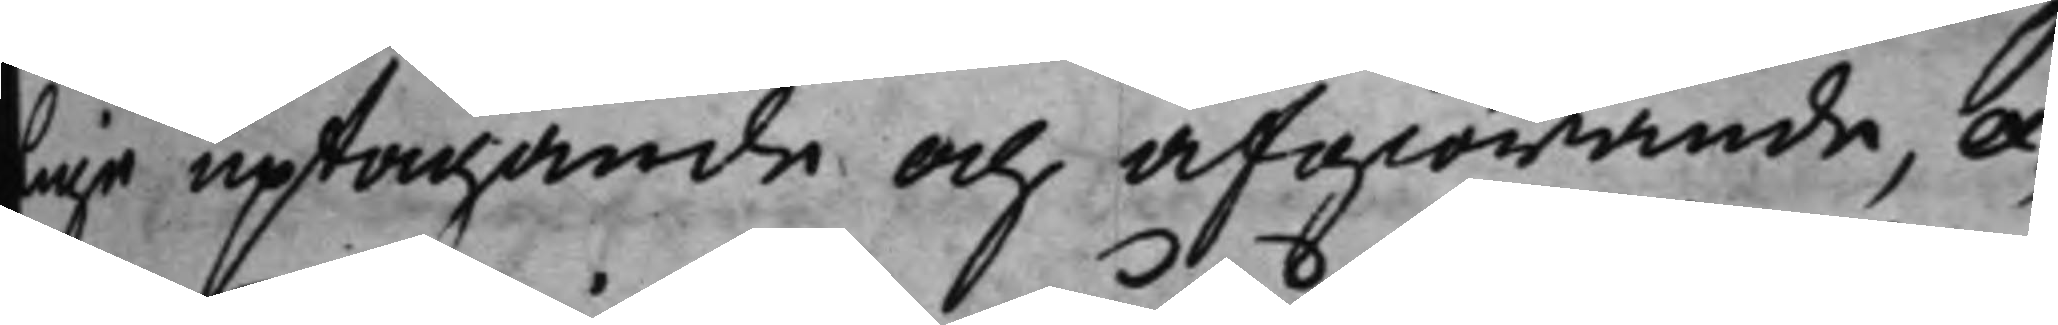lige uptagande och afgiörande, ex¬
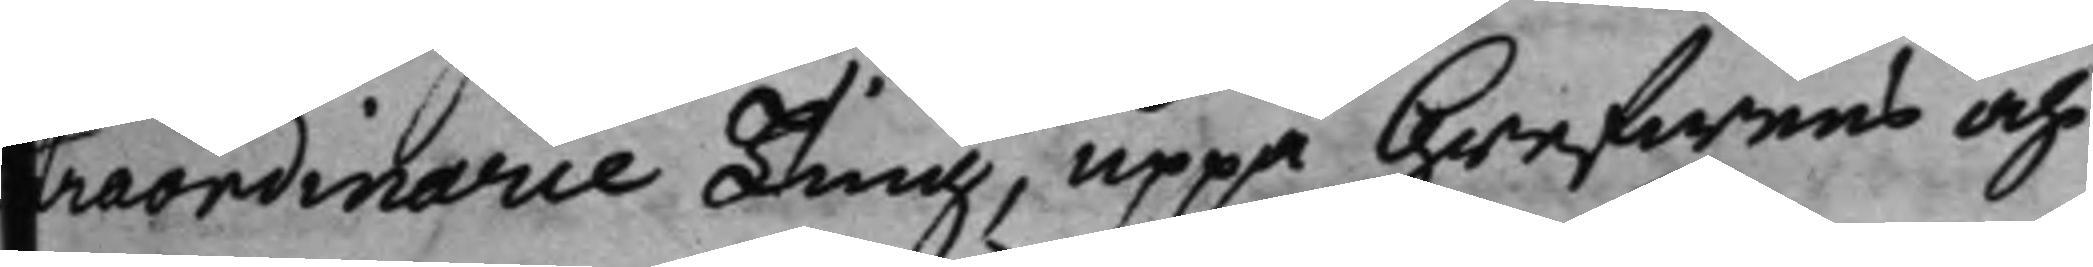traordinarie Ting, uppå Grefwens och
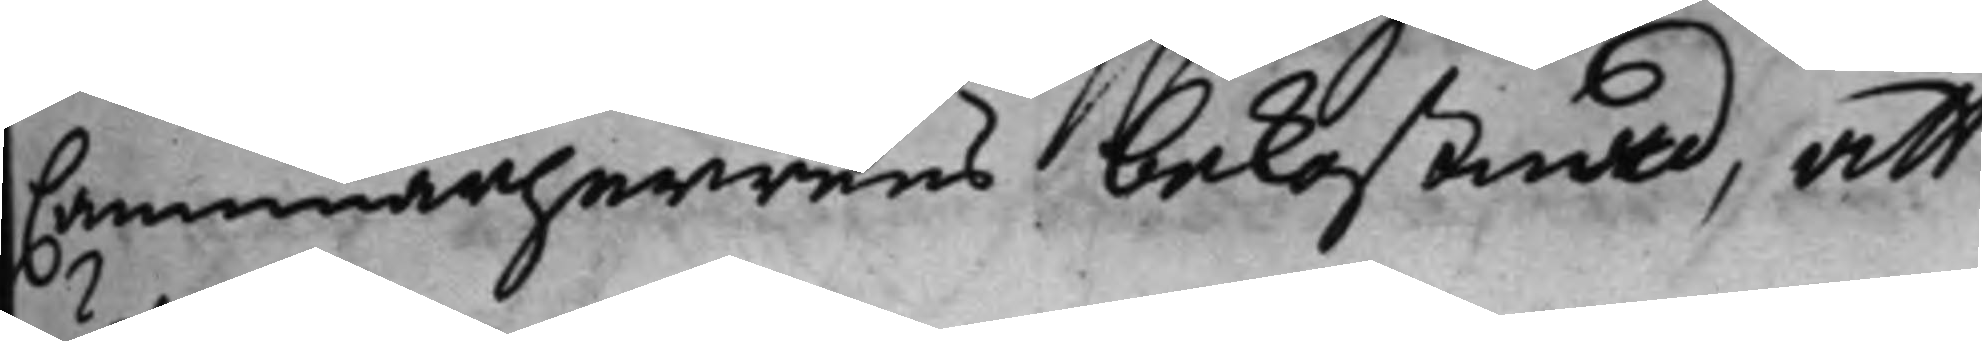Cammarherrens bekostnad, att
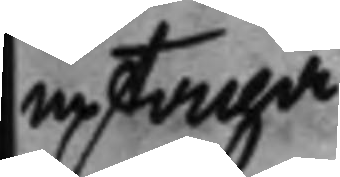uptaga.
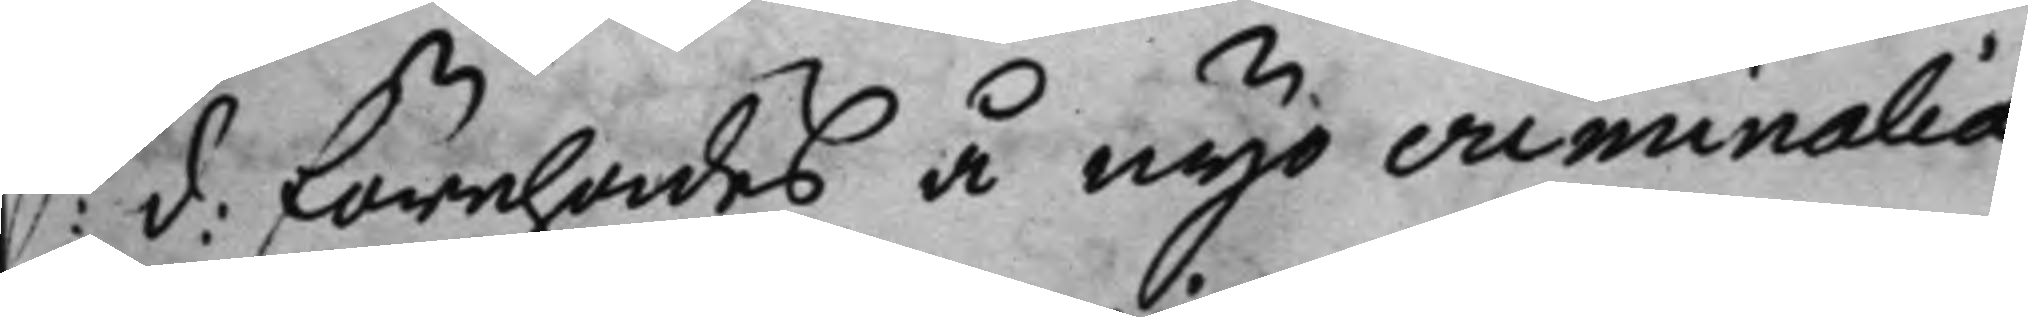S: d: förehades å nyo criminalia
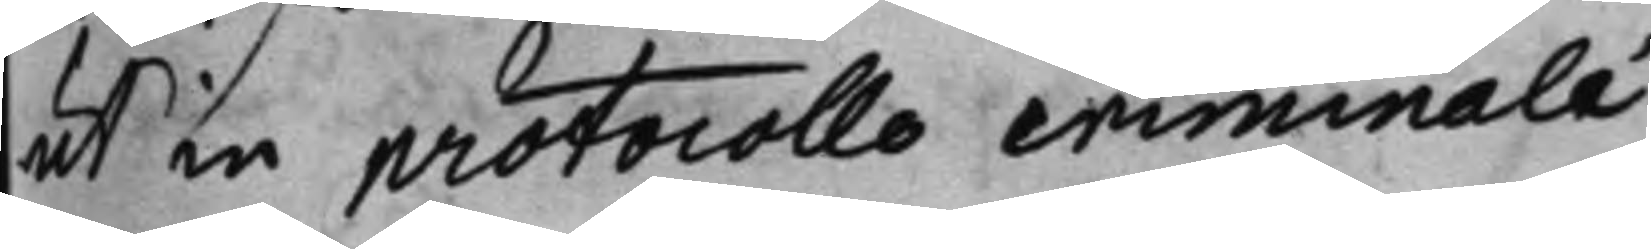ut in protocollo criminalé.
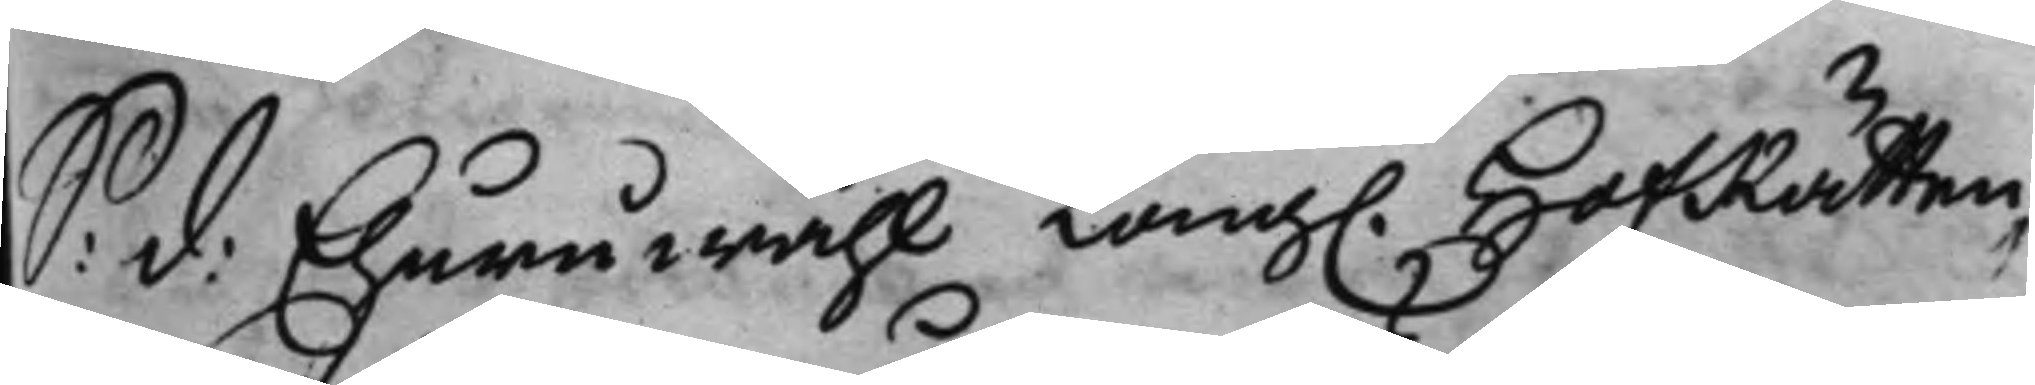S: d: Ehuruwähl Kong. HofRätten,
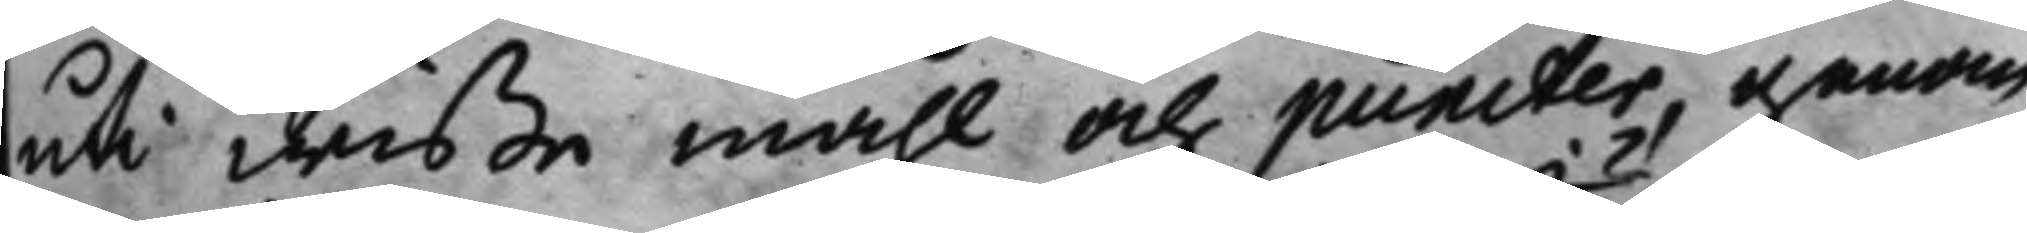uti wißa måhl och puncter, genom
